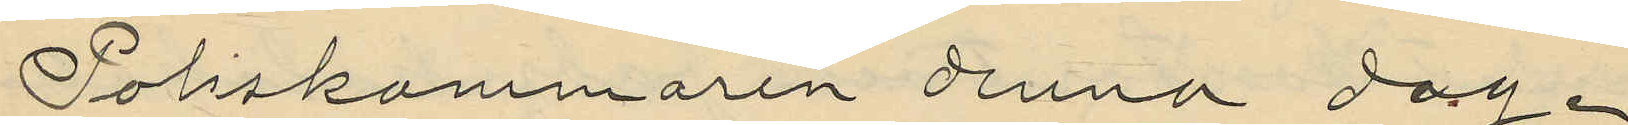Poliskammaren denna dag .
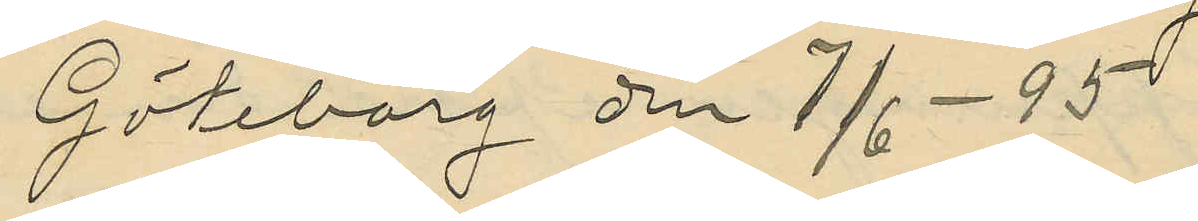Göteborg den 7/6 - 95
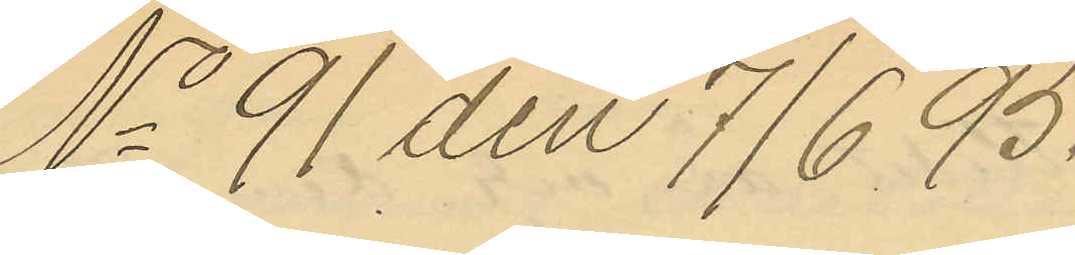No 91 den 7/6 95.
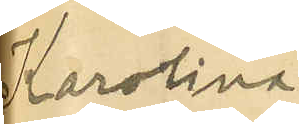Karolina
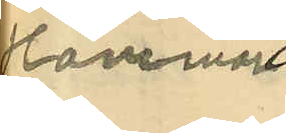Hammar
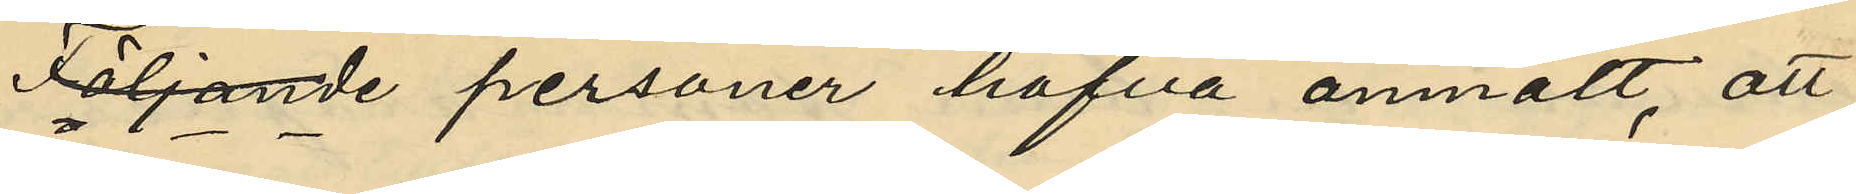Följande personer hafva anmält, att
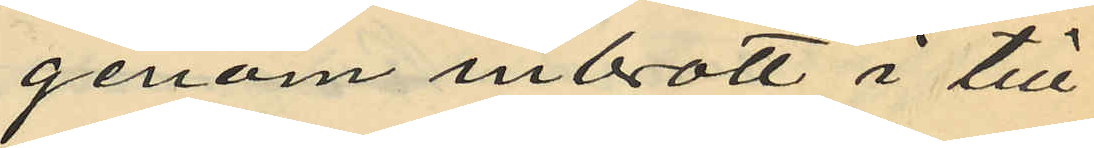genom inbrott i till
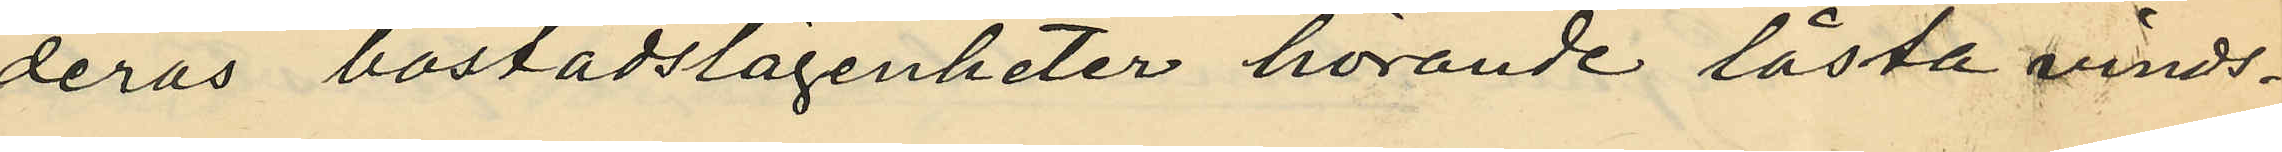deras bostadslägenheter hörande låsta vinds¬
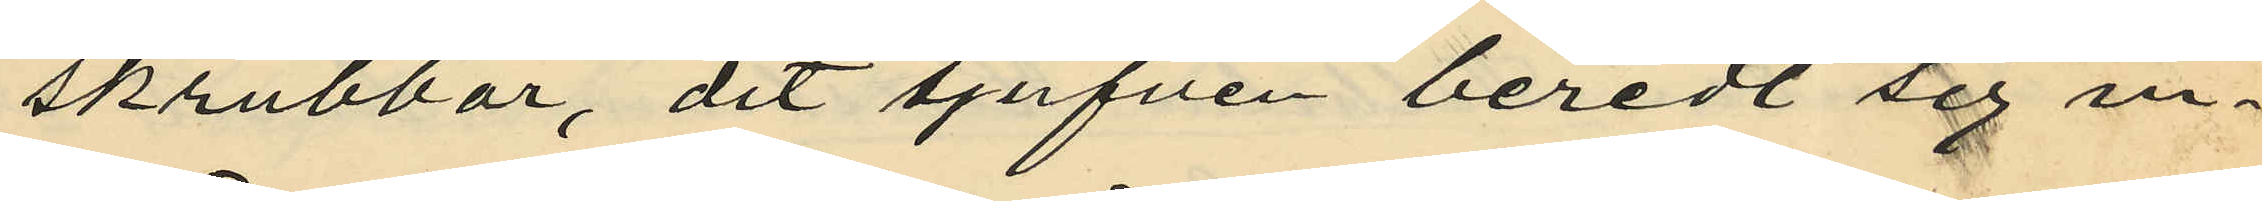skrubbar, dit tjufven beredt sig in¬
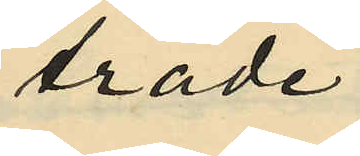träde
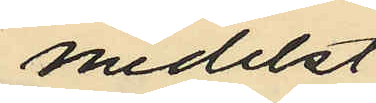medelst
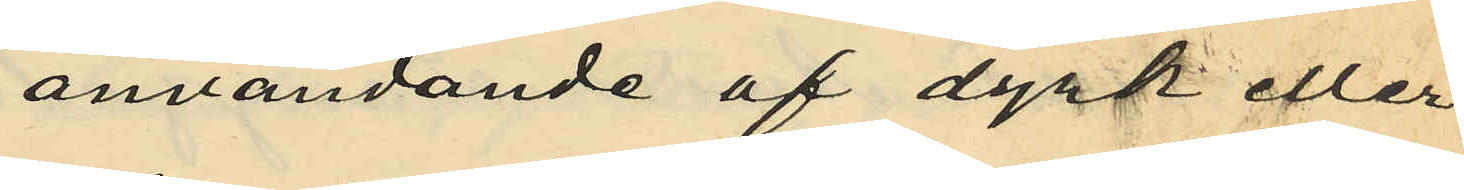användande af dyrk eller
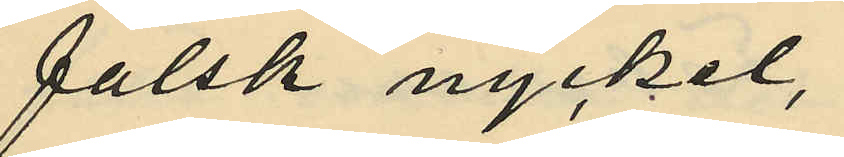falsk nyckel,
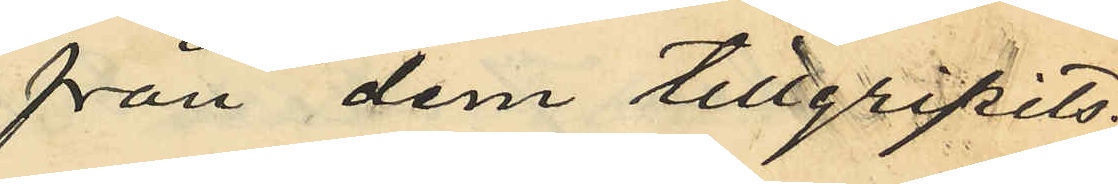från dem tillgripits:
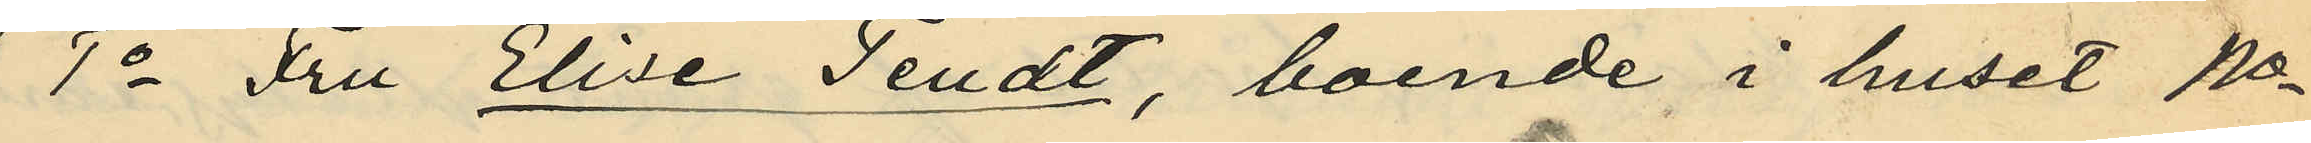1o Fru Elise Tendt, boende i huset No
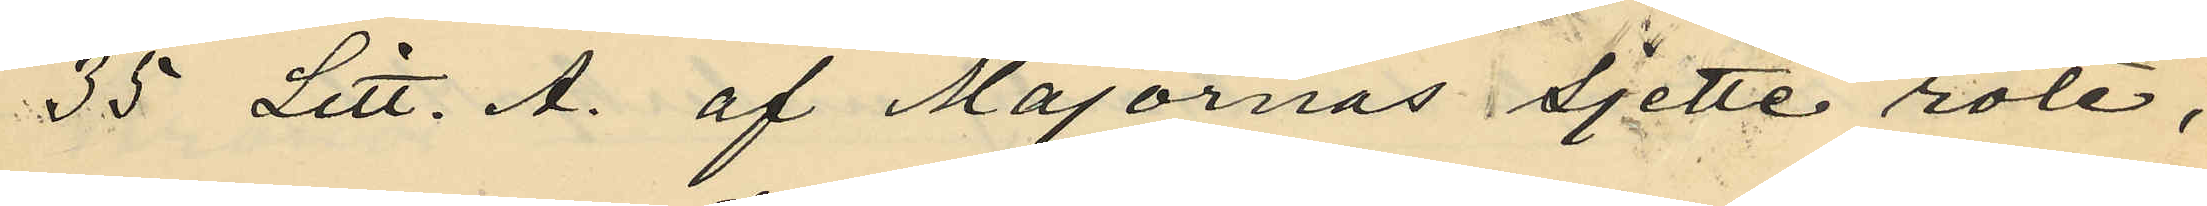35 Litt. A. af Majornas sjette rote,
